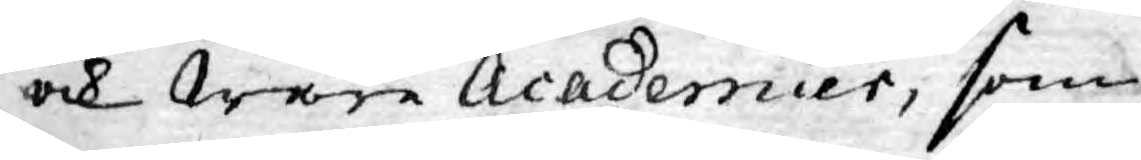ock Wåra Academier, som
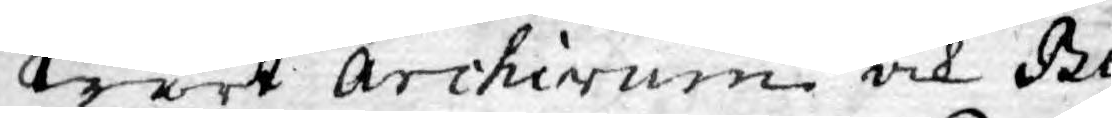Wårt Archivum och Bi¬
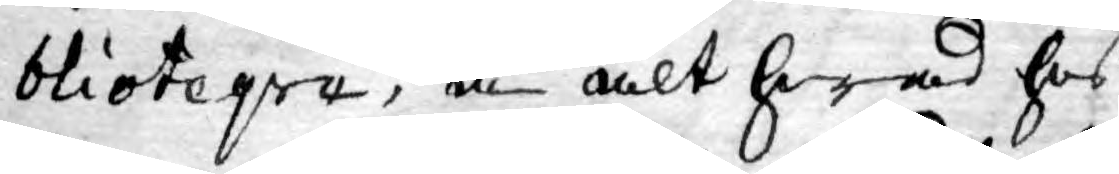blioteqve, å alt hwad hos
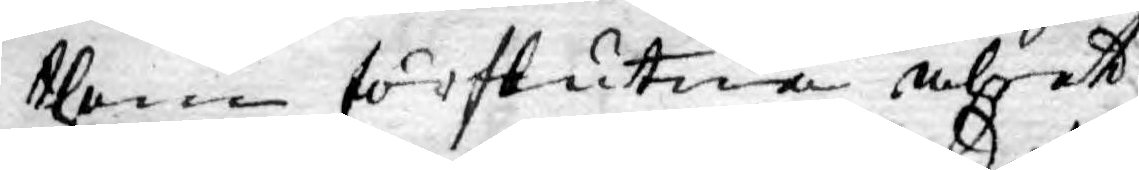them förslutna åhret
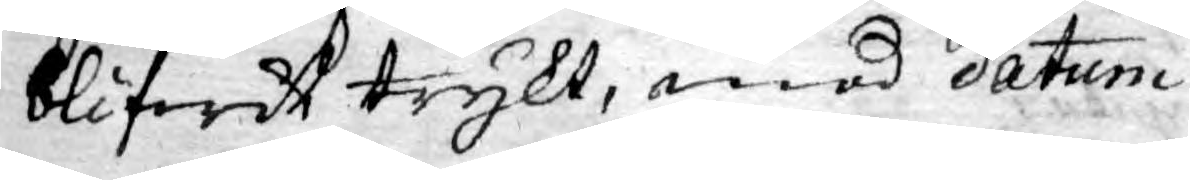blifwit trykt, med datum
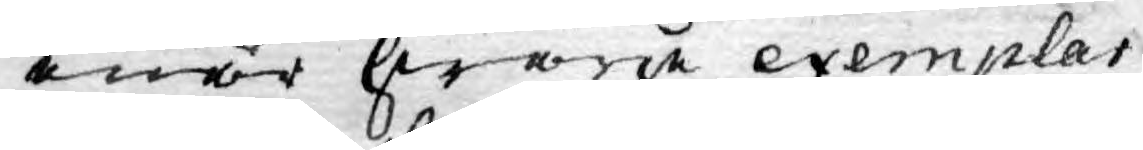enär hwarje exemplar
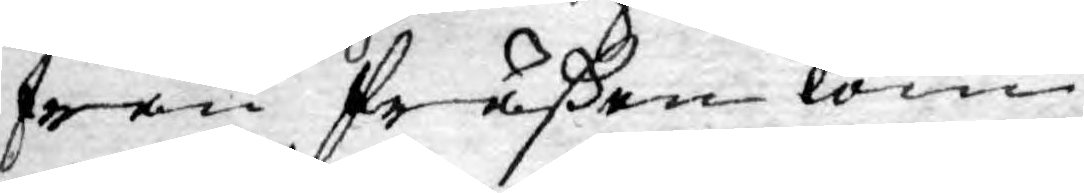från Präßen kom¬
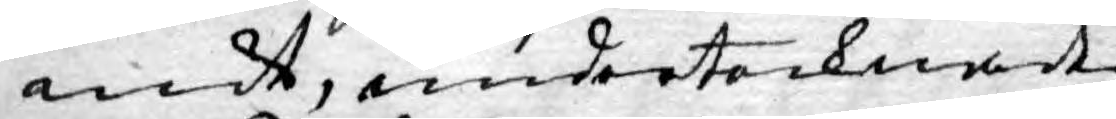mit, undertecknadt
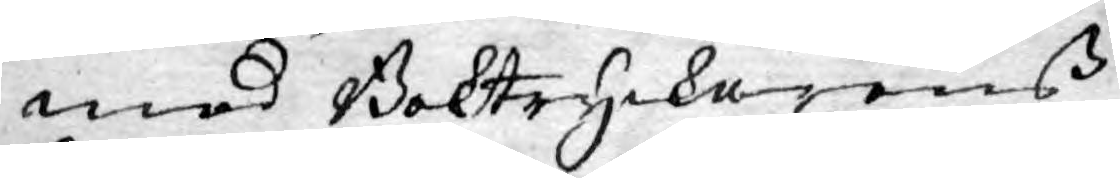med Boktryckarens
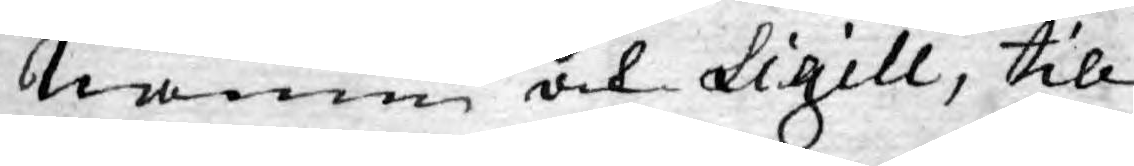namn och Sigill, till
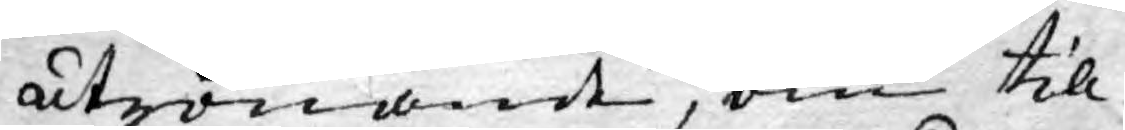utrönande, om till
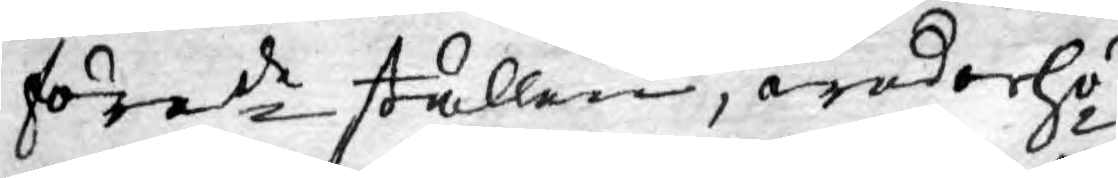förede ställen, wederhö¬
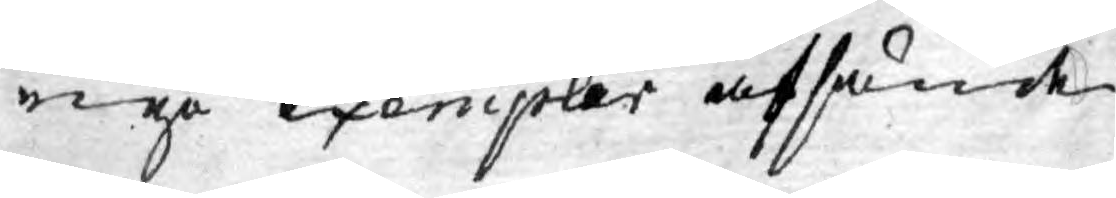rige exempler afsände
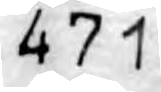471
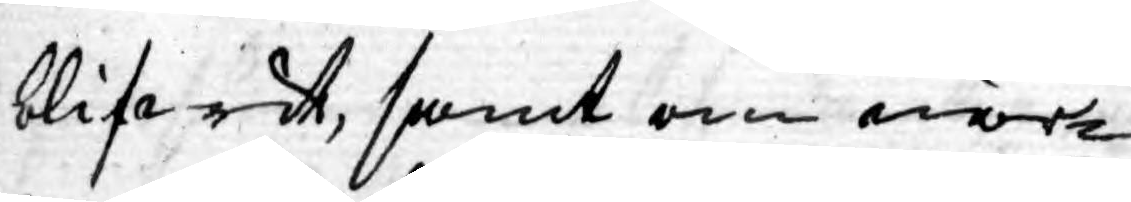blifwit, samt om när¬
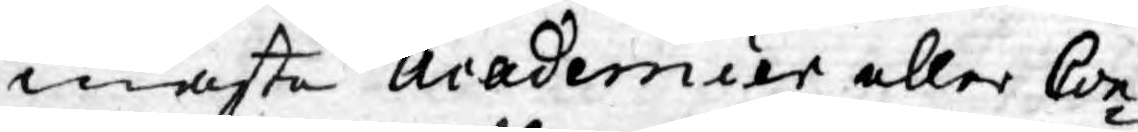maste Academier eller Con¬
